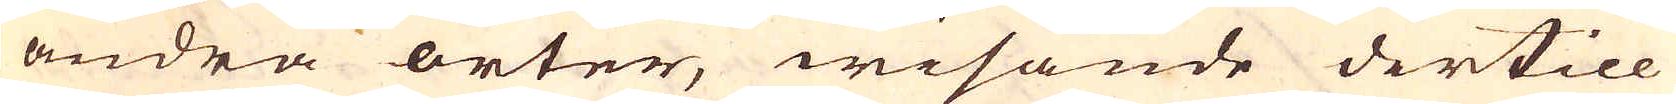andra orter, wisande dertill
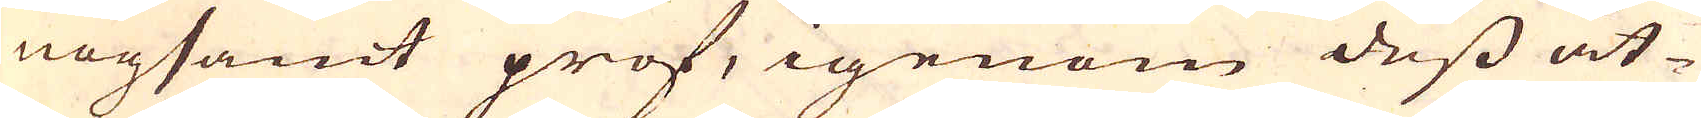nogsamt prof, igenom dess åt-
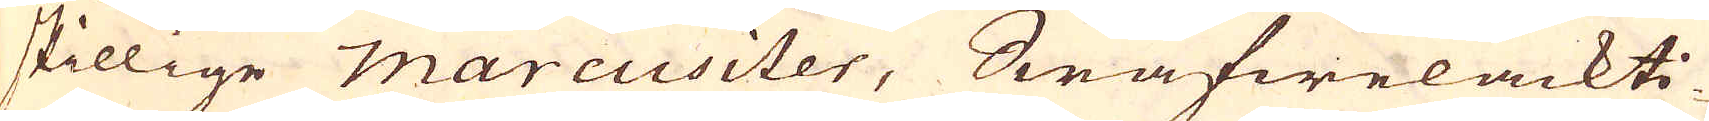skillige marcusiter, Swafwelackti-
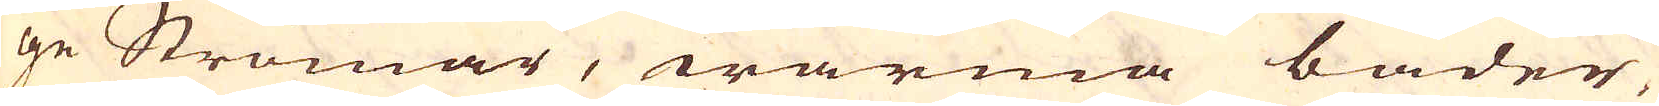ge Strömar, warma bader,
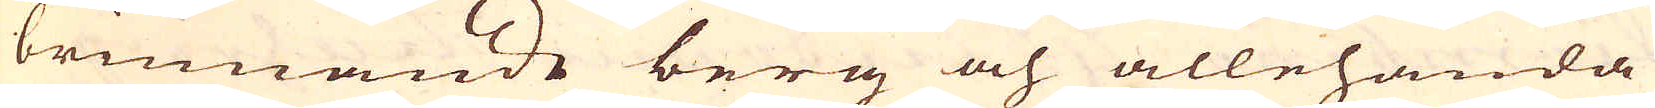brinnande berg och allehanda
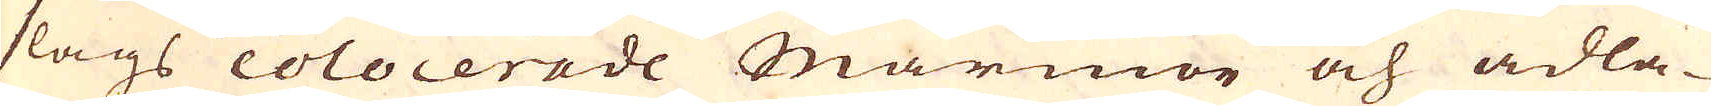slags colocerade Marmor och ädla-
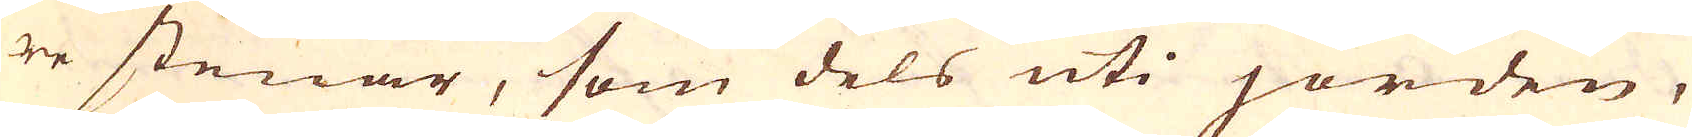re stenar, som dels uti jorden,
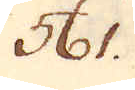561.
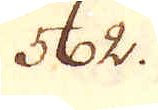562.
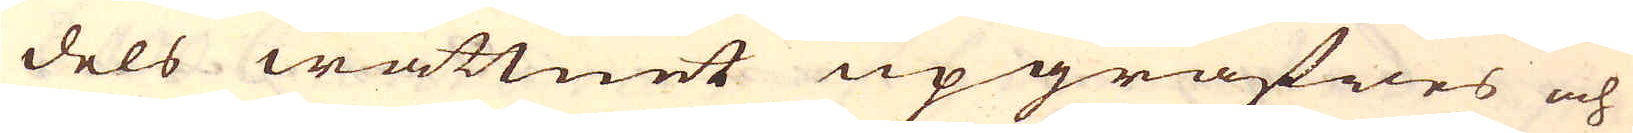dels wattnet upgräfwes och
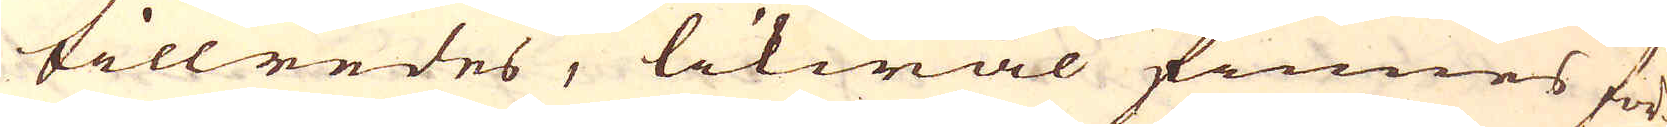tillredes, likwäl finnes för
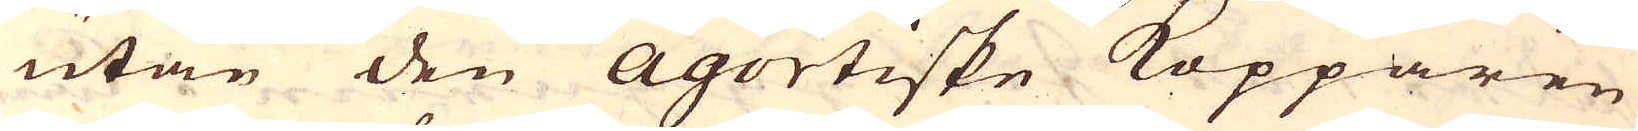utan den Agortiske Kopparen
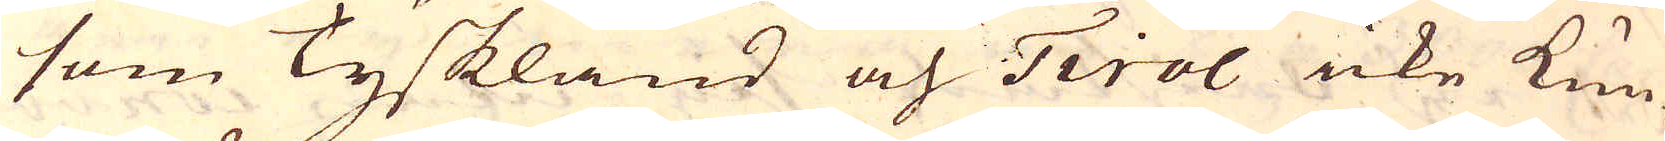som Tyskland och Tirol icke kun-
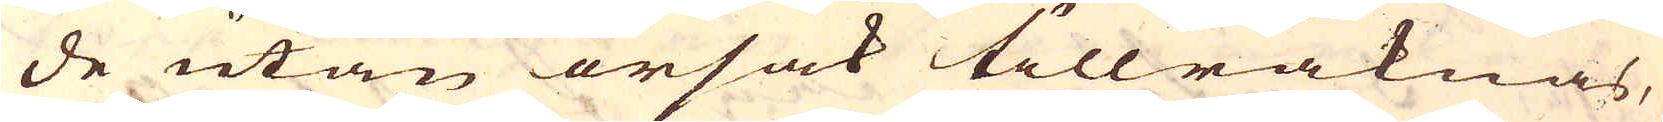de utan orsak tillräknas,
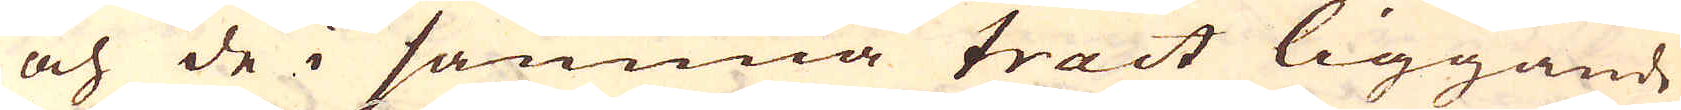och de i samma tract liggande
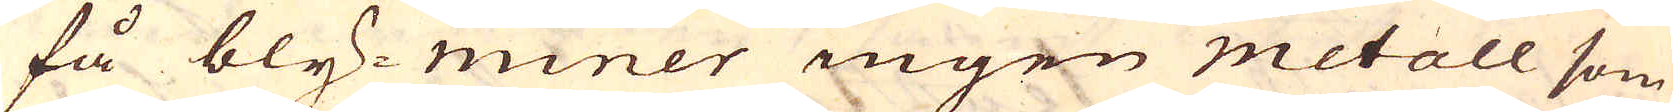få bly-miner ingen metall som
